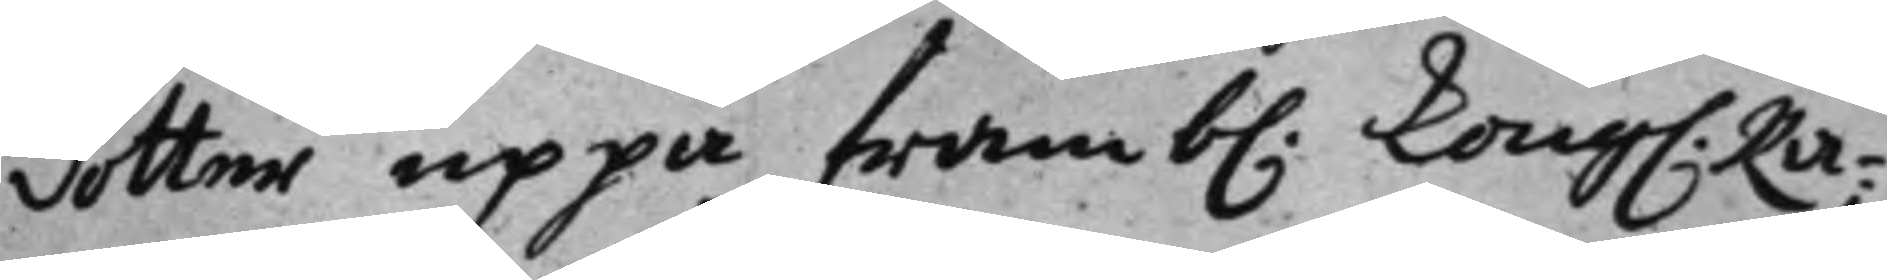dotter uppå framb: Kong. Rå¬ 
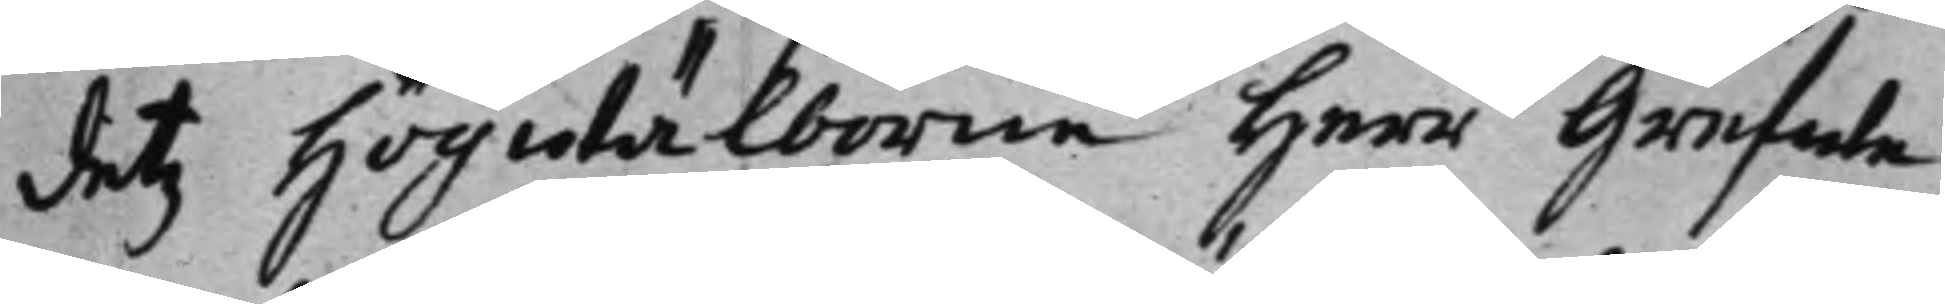detz högwälborne herr Grefwe
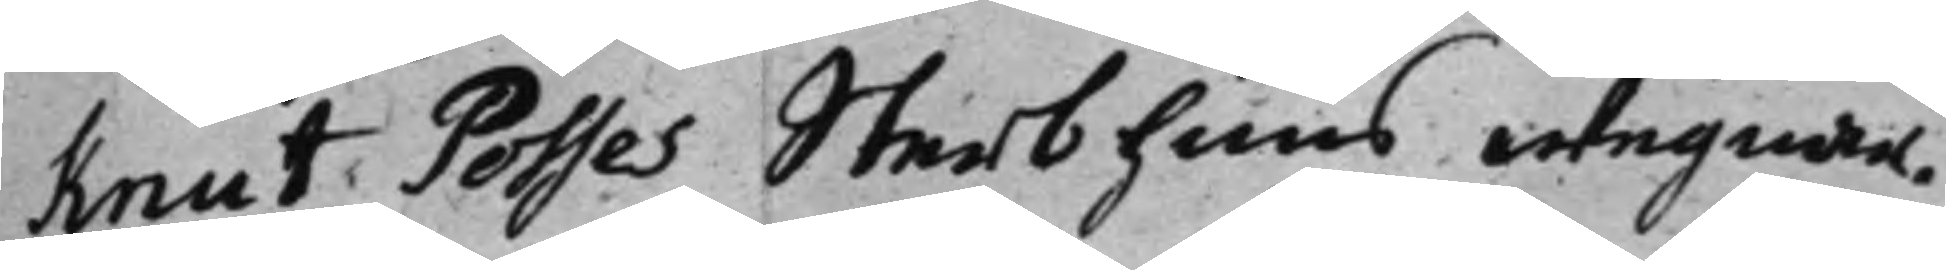Kriut Posses Sterbhuus wegnar.
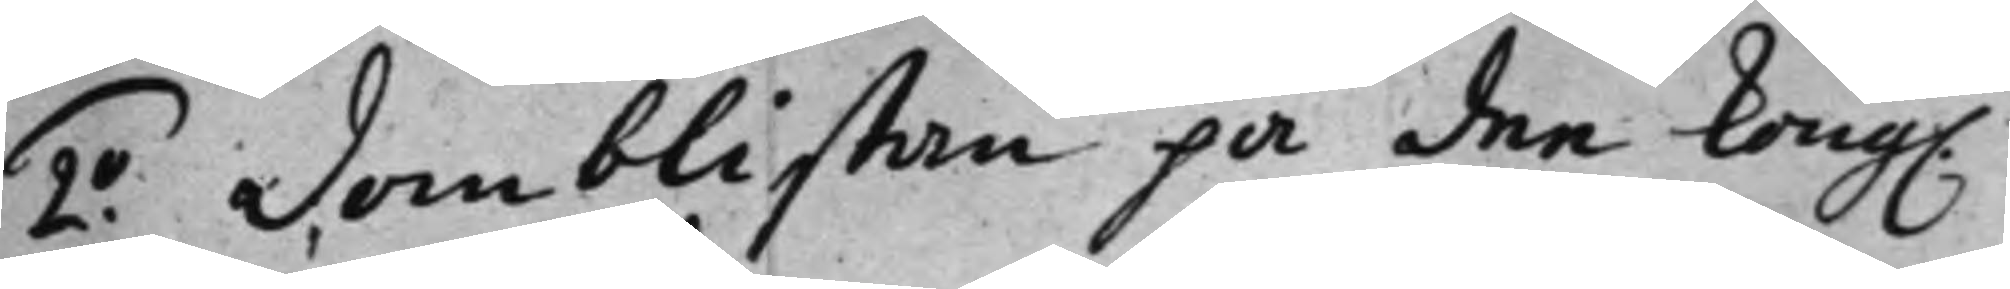2:o Domblistan på dee Kong. 
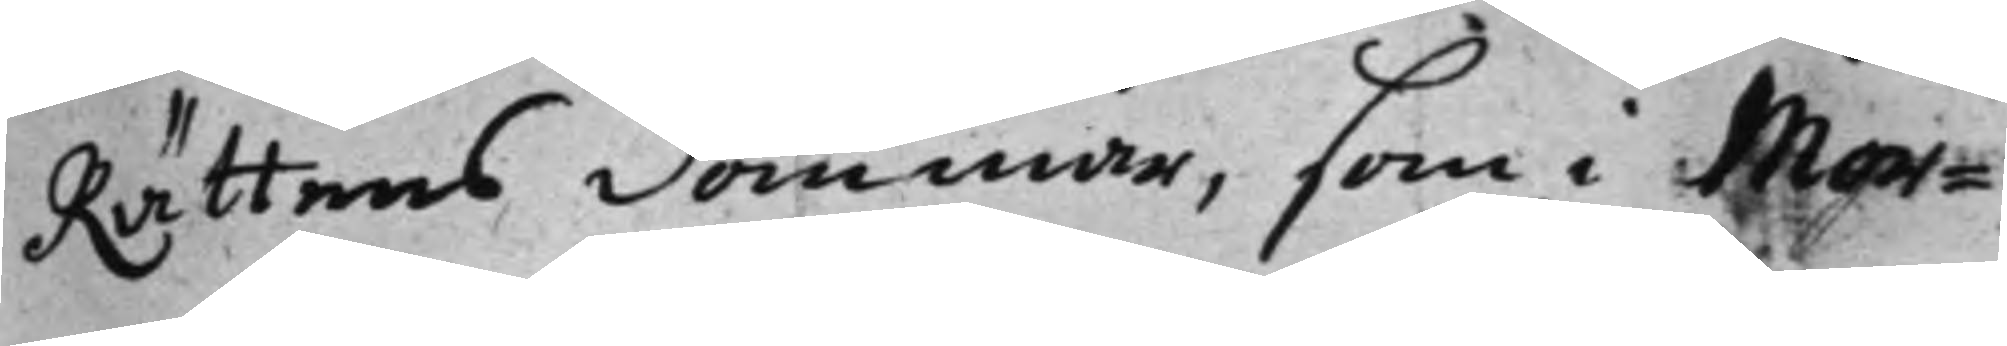Rättens dommar, som i Mor¬
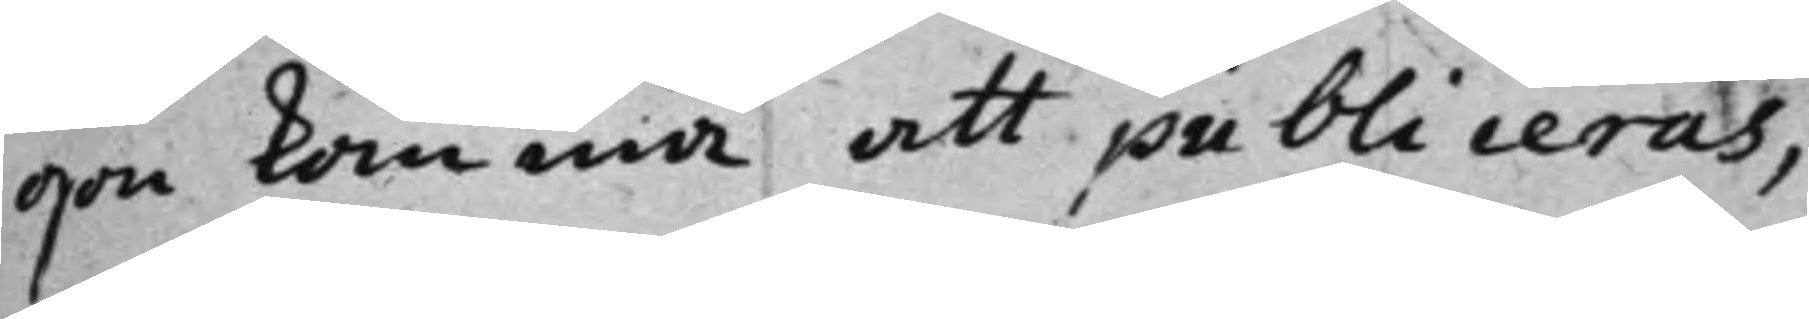gon komma att publiceras,
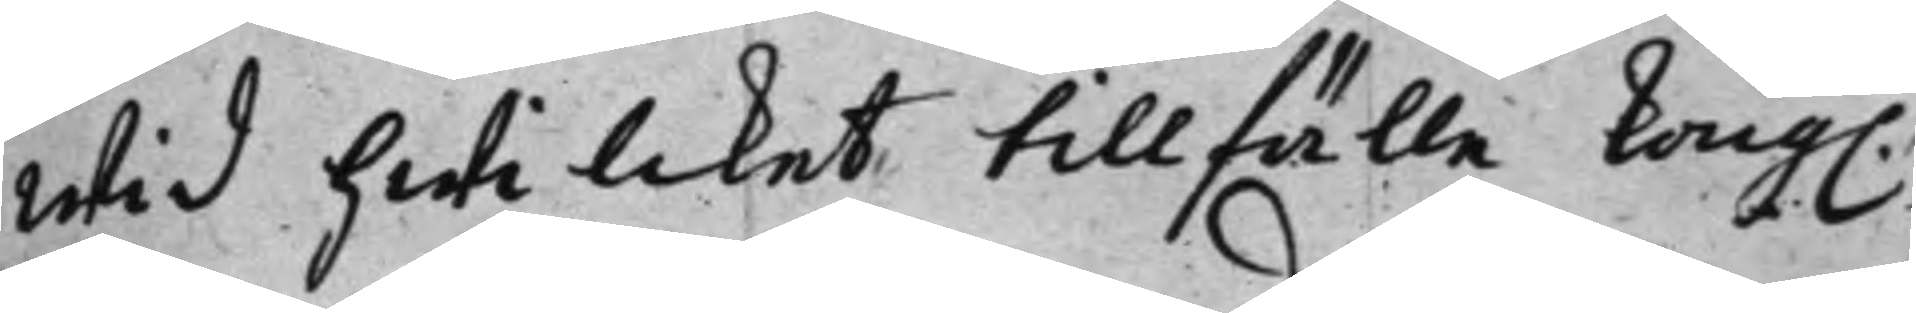wid hwilcket tillfulle Kong. 
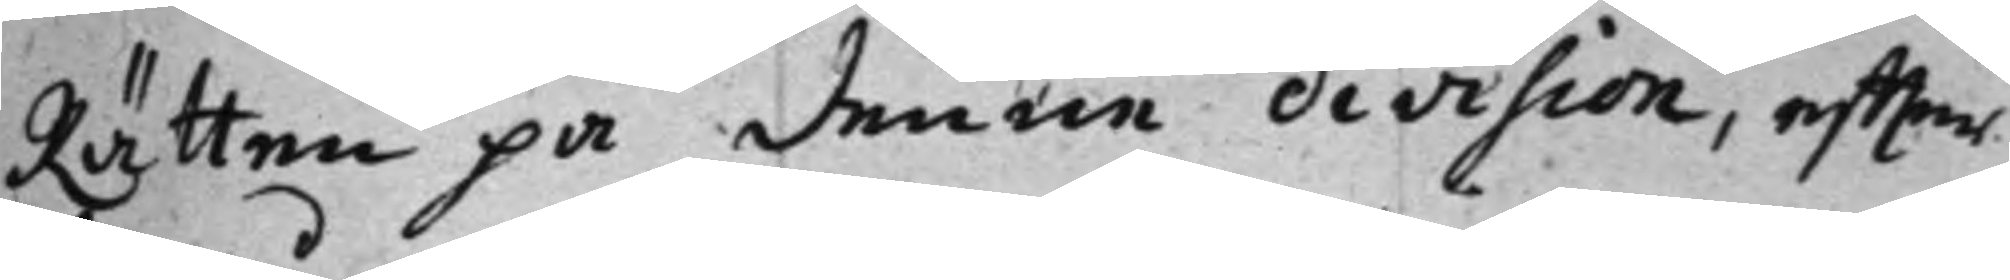Rätten på denne division, effter
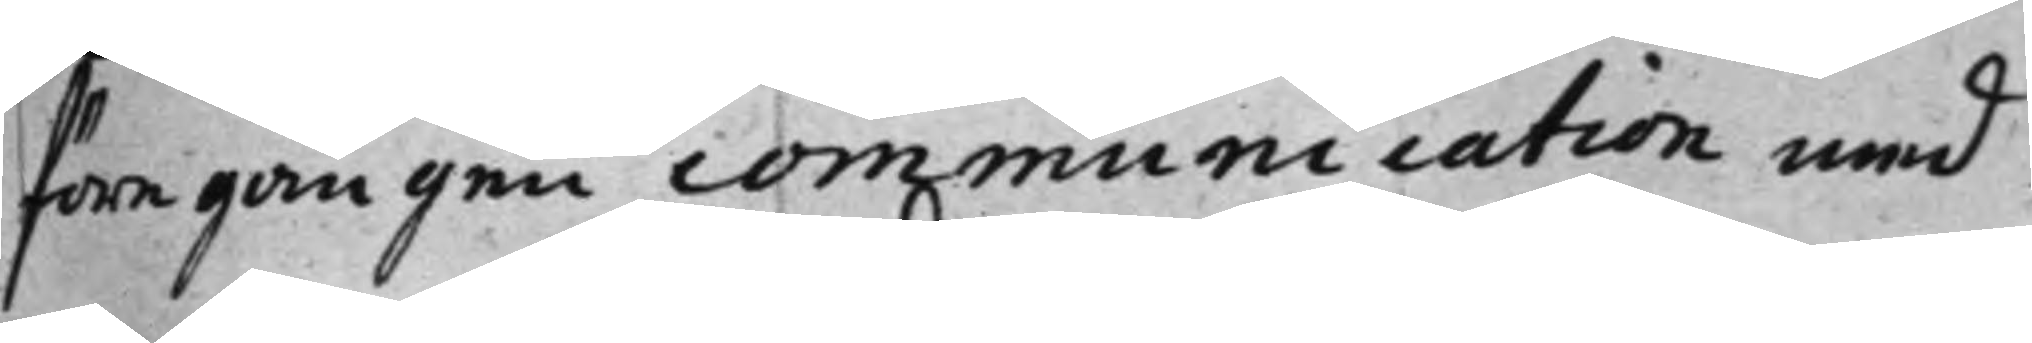föregången communication med
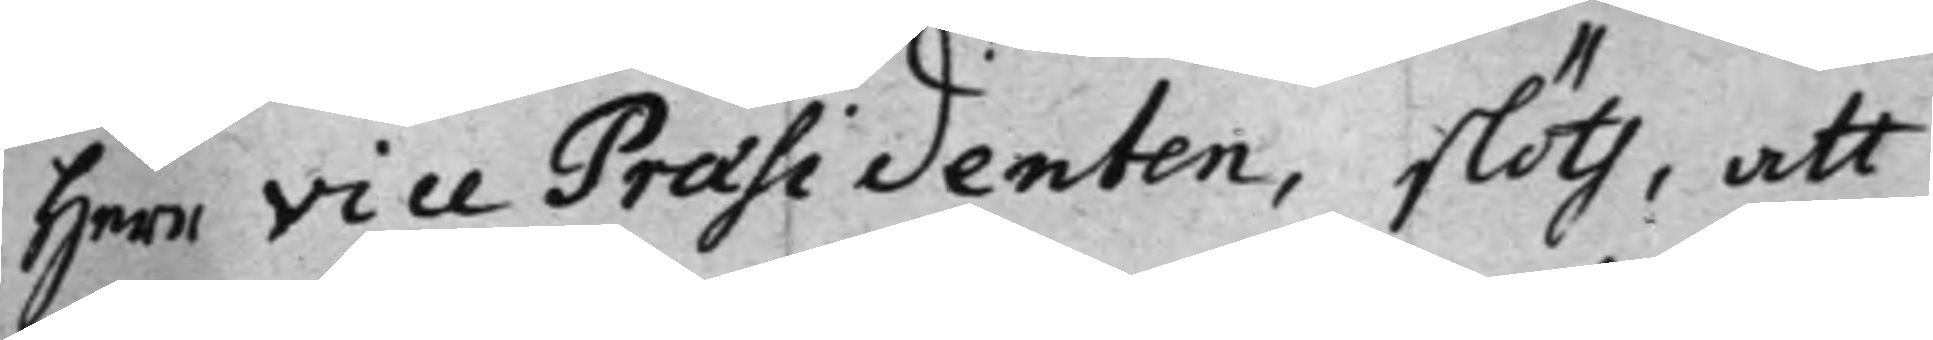Herr Vice Praesidenten, slöts, att
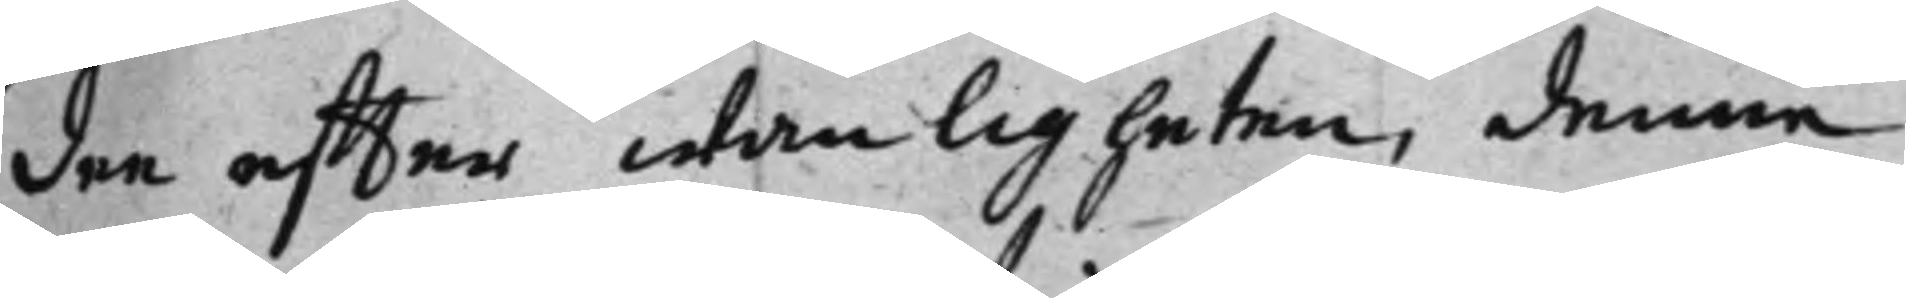den effter wanligheten, denna
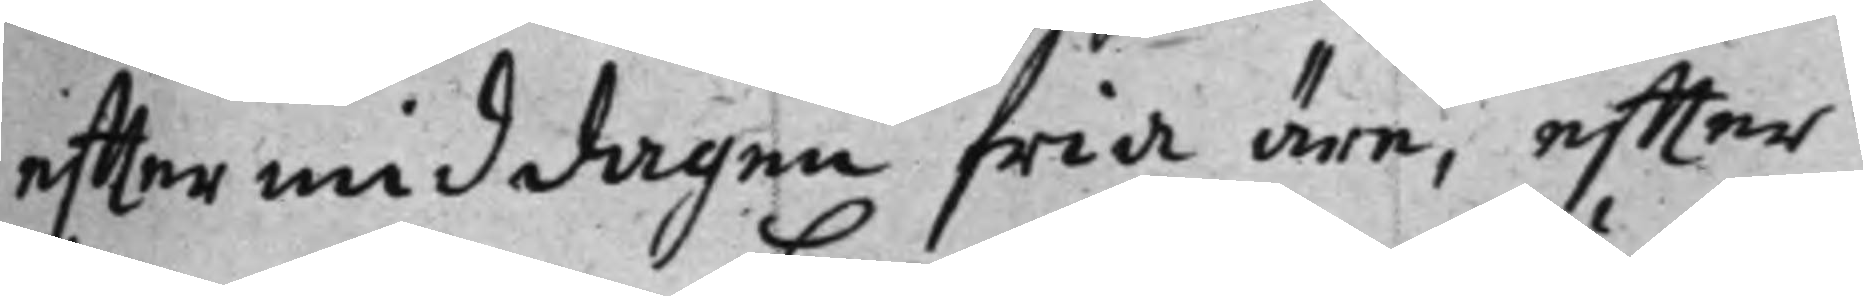efftermiddagen fria äre, effter
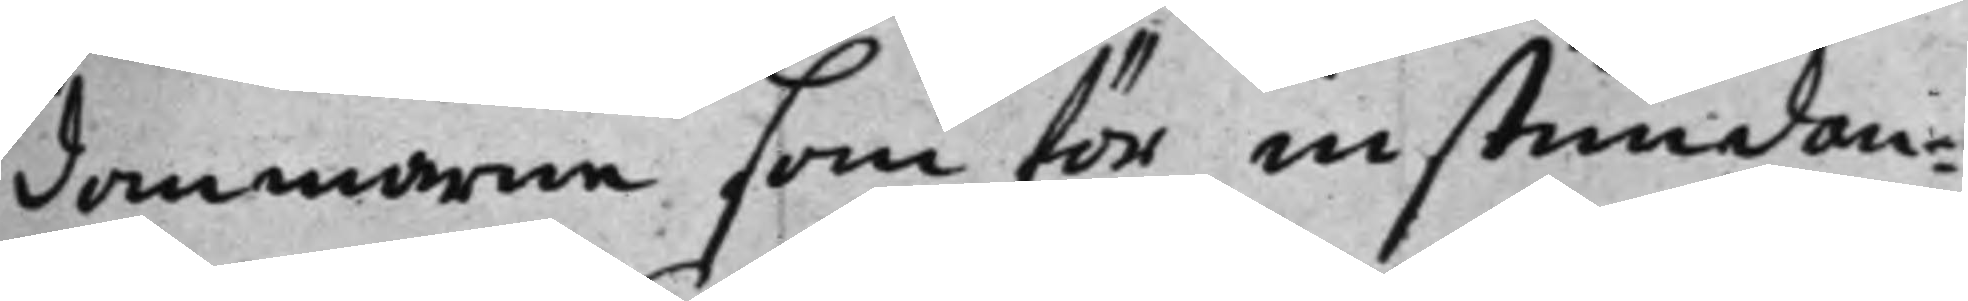dommarne som för instundan¬
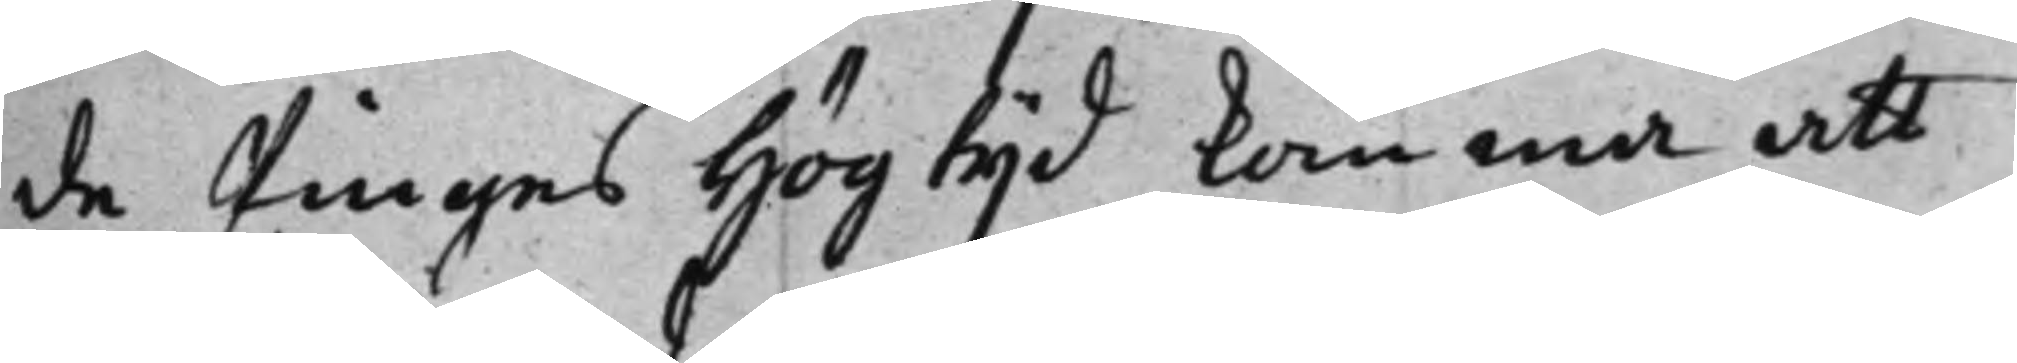de Pinges Högtijd komma att
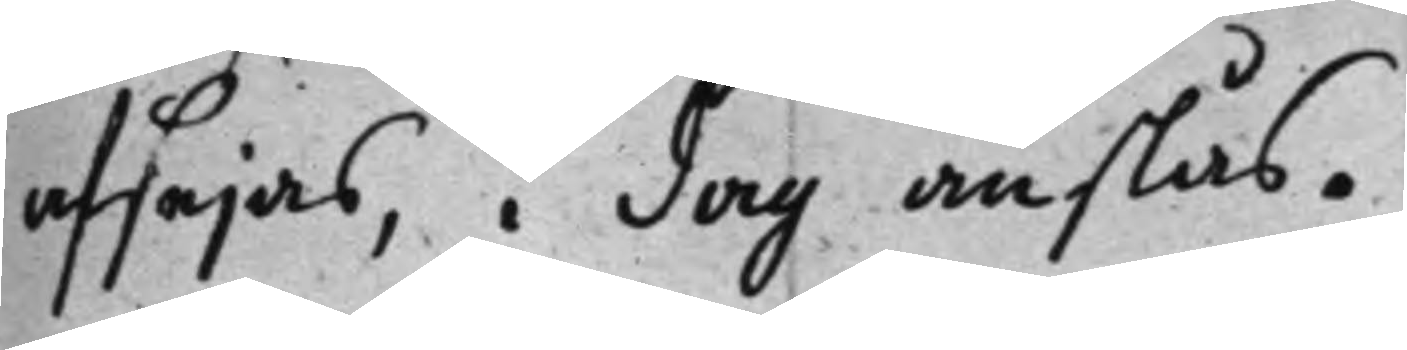afsejas, i dag anslås.
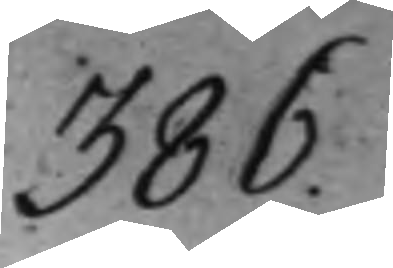386.
